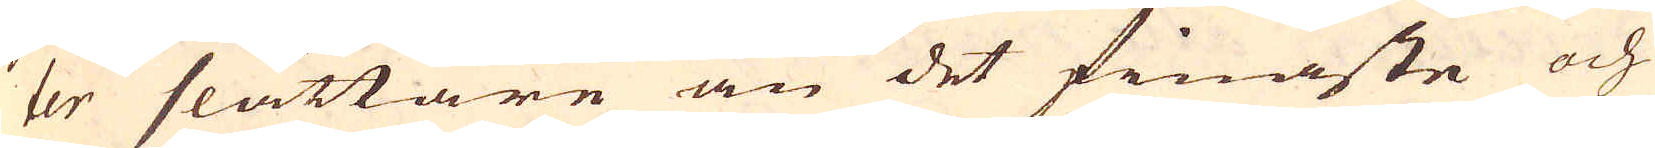ter slättare än det finaste och
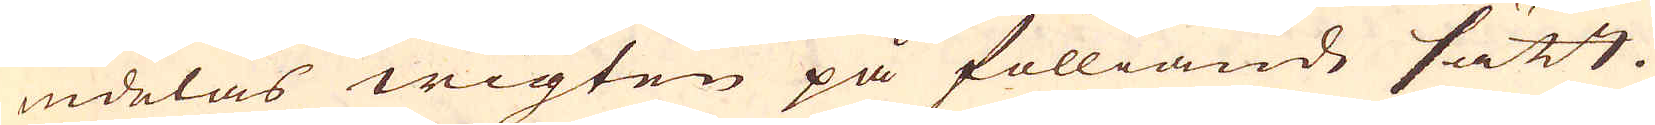indelas wigten på fölliande sätt.
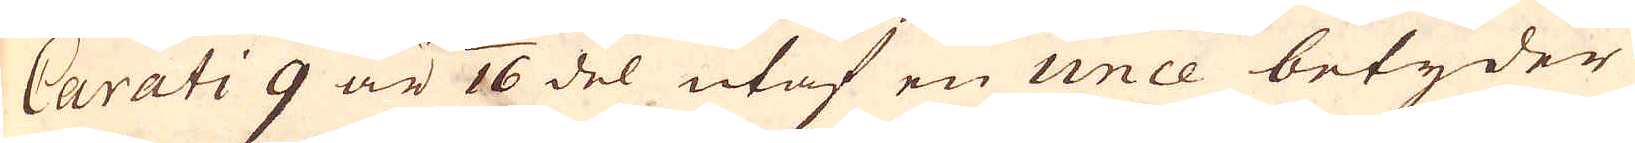Carati 9 är 1/16 del utaf en unce betyder
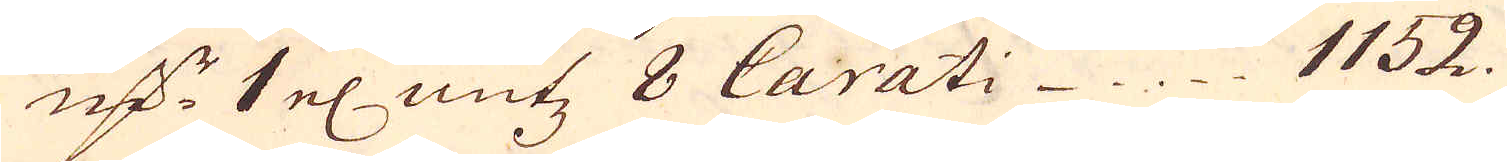marker 1 el: untz 8 Carati 1152.
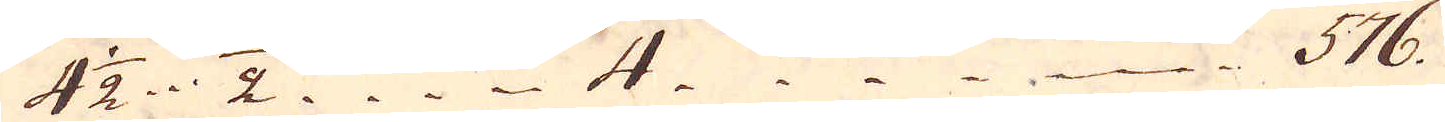4 1/2 1/2 4 576.
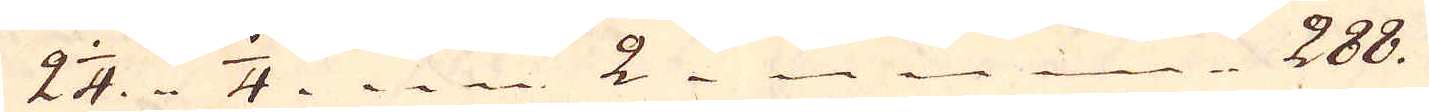2 1/4 1/4 2 288.
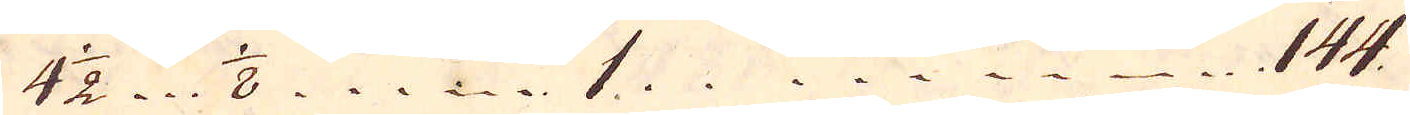4 1/2 1/8 1 144.
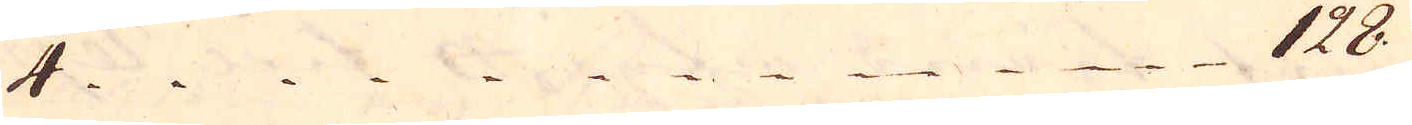4 128.
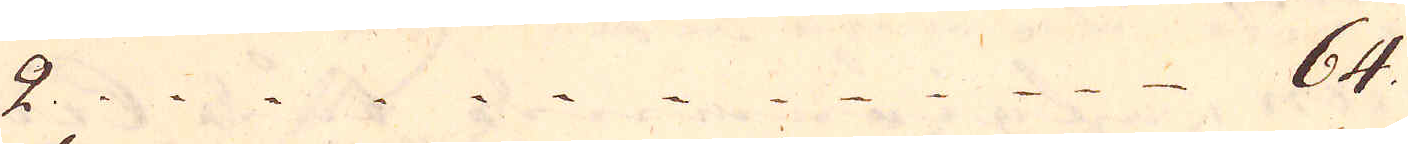2 64.
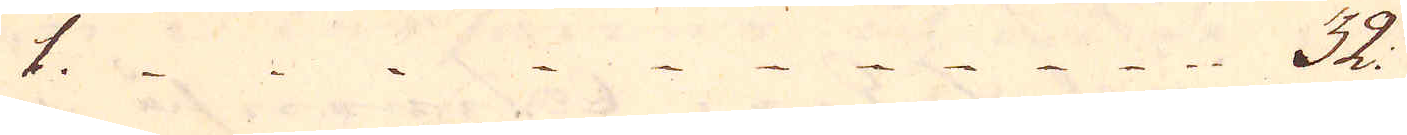1 32.
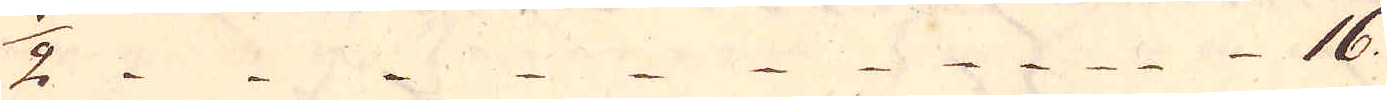1/2 16.
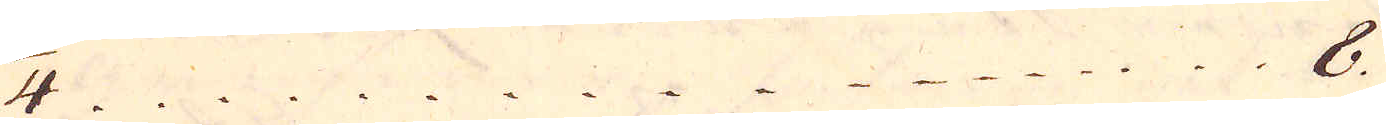1/4 8.
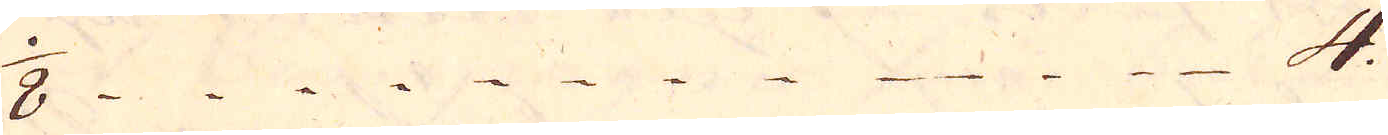1/8 4.
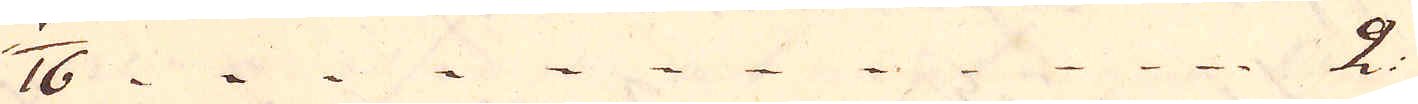1/16 2.
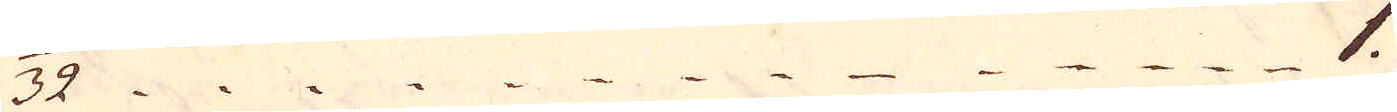1/32 1.
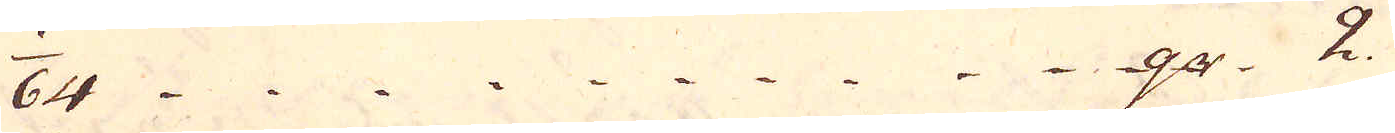1/64 qr. 2.
